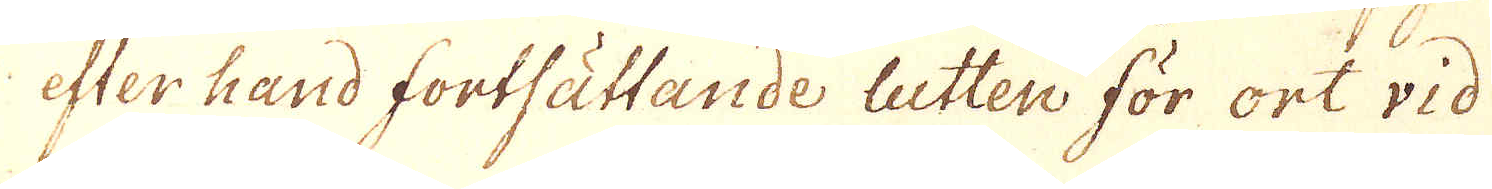efter hand fortsättande lutten för ort vid
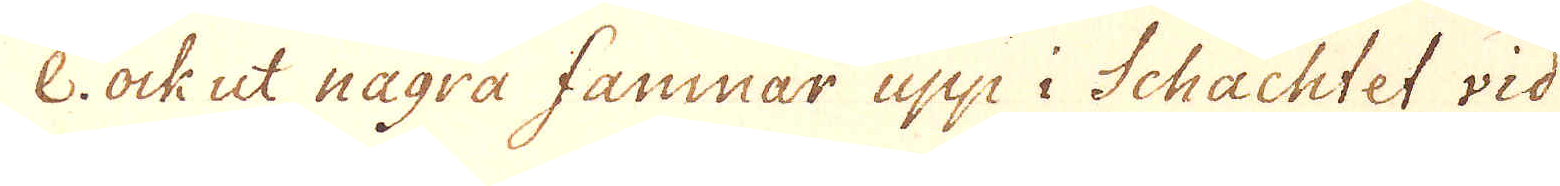e. ock ut några famnar upp i Schachtet vid
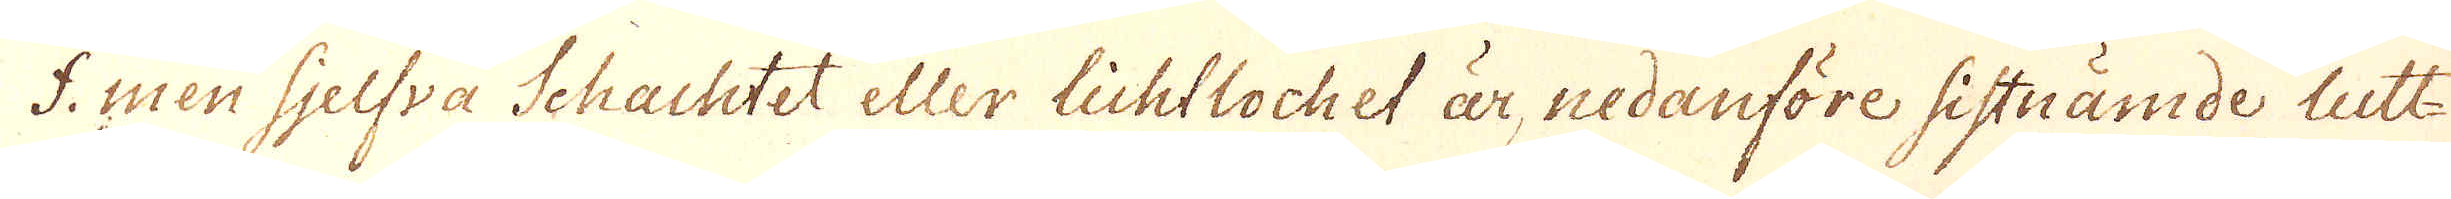f. men sjelfva Schachtet eller lichtlochet är, nedanföre sistnämde lutt-
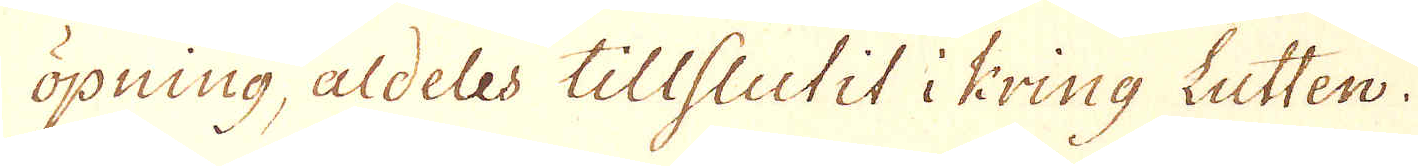öpning, aldeles tillsiutit i kring Lutten.
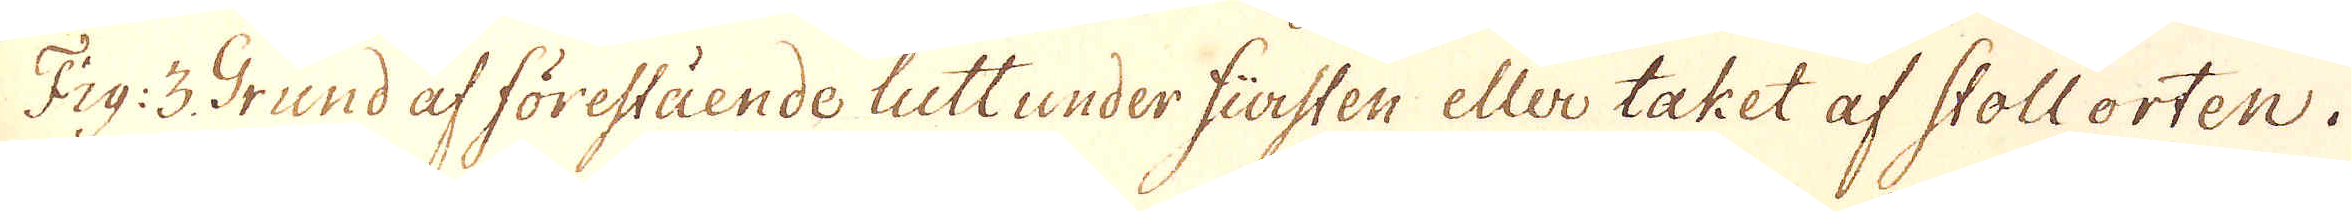Fig: 3 Grund af förestående lutt under fürsten eller taket af Stollorten.
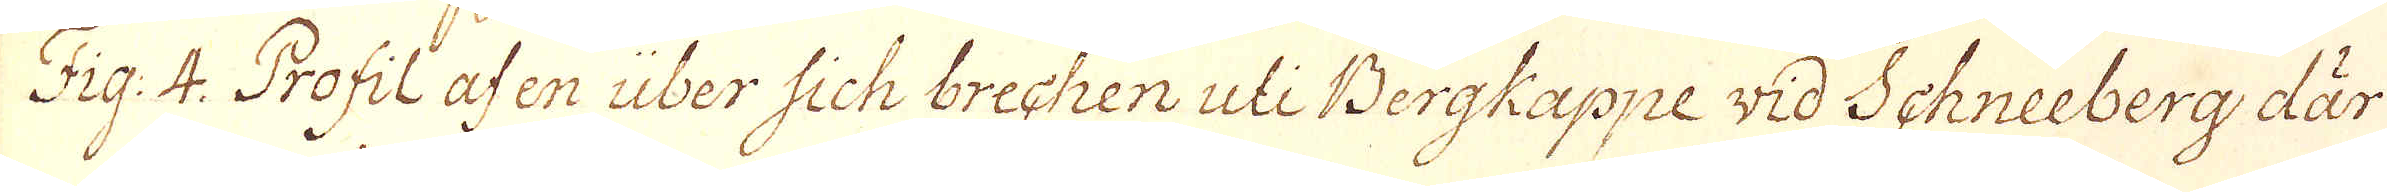Fig: 4. Profil af en über sich brechen uti Bergkappe wid Schneeberg där
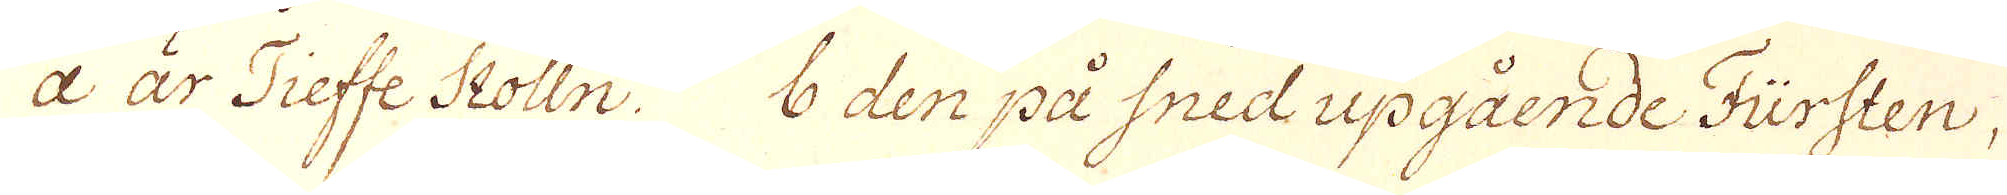a är Tieffe Stolln. b den på sned upgående Fürsten,
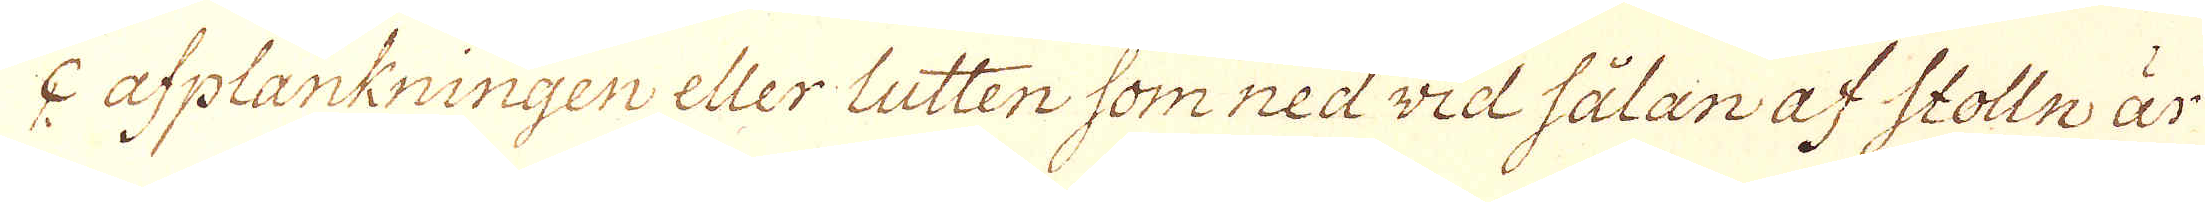c afplankningen eller lutten som ned wid sålan af Stolln är
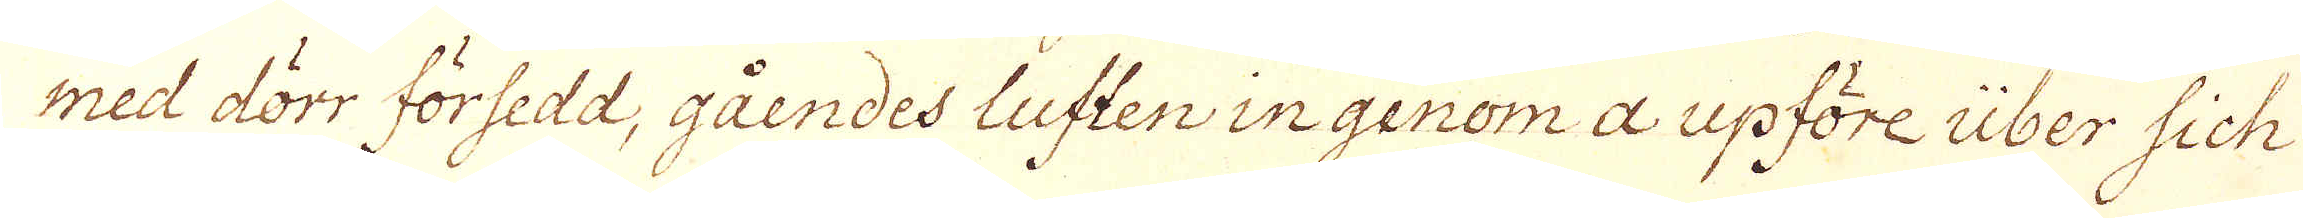med dörr försedd, gåendes luften ingenom a upföre über sich
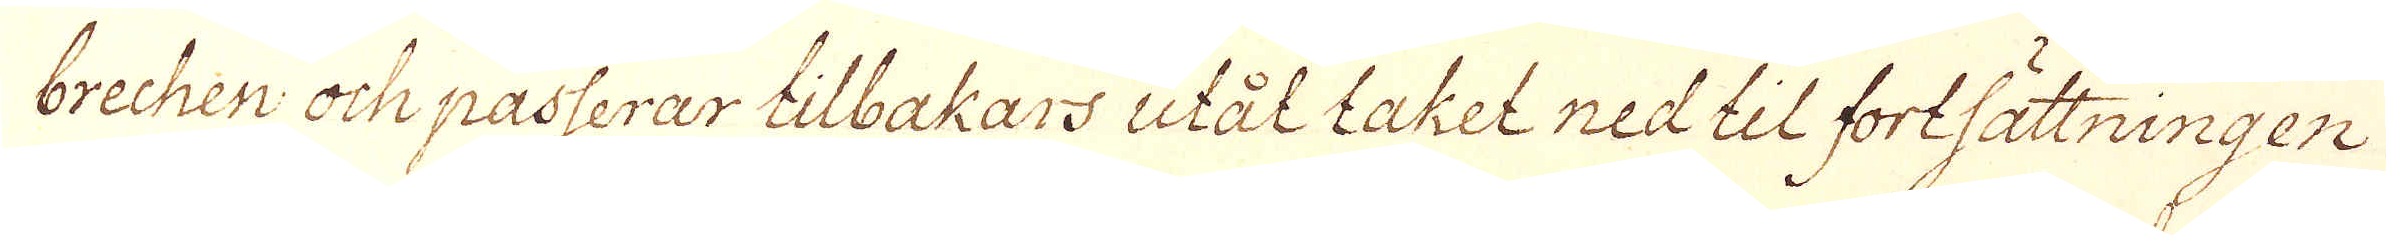brechen och passerar tilbakars utål taket ned til fortsättningen
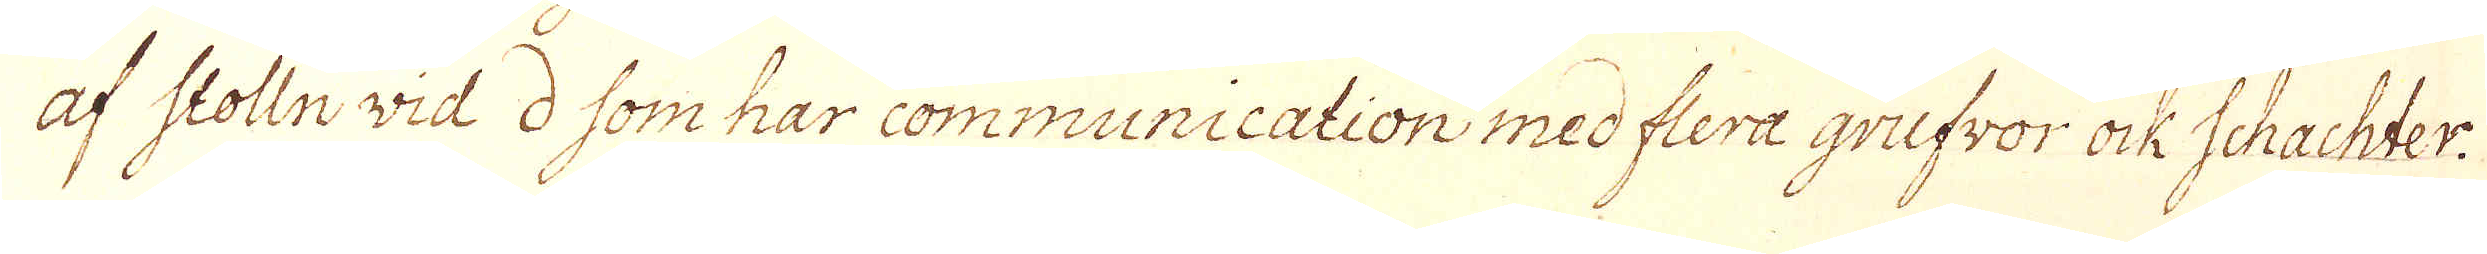af Stolln wid d som har communication med flera grufwor ock Schachter.
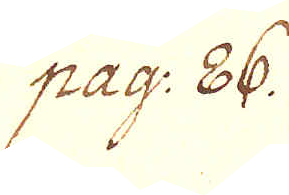pag: 86.
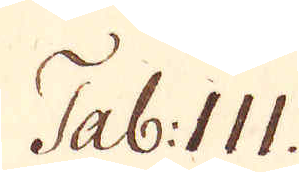Tab: III.
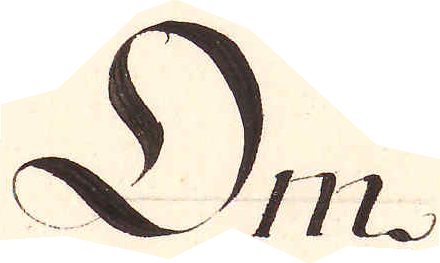Om
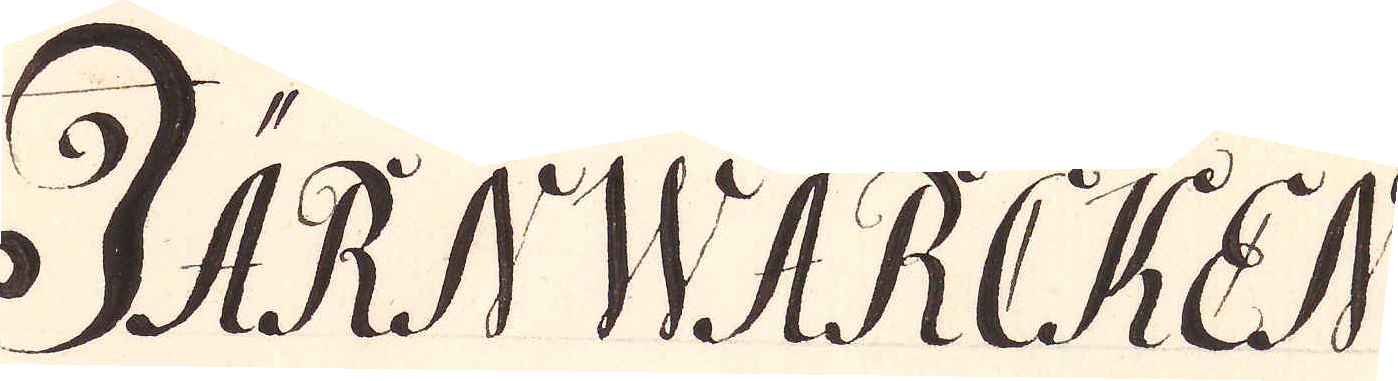JÄRNWÄRKEN
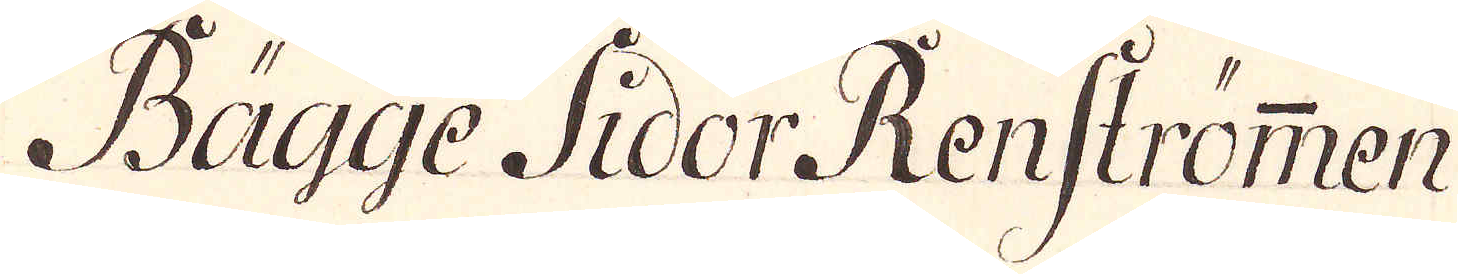Bägge Sidor Renströmmen
